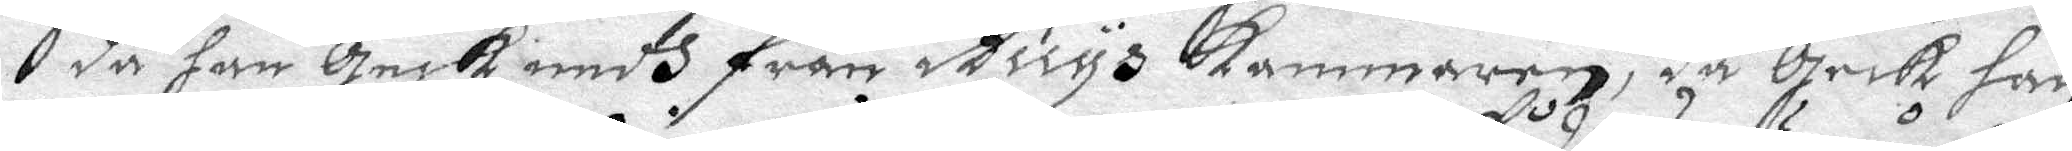då han geck nedh från Anyh kammaren, då geck han
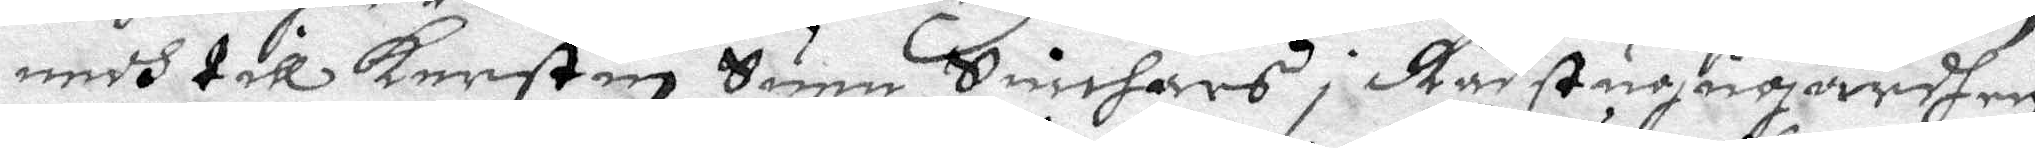nedh till Kerstin Suen Snickars i Rådstugugårdhen
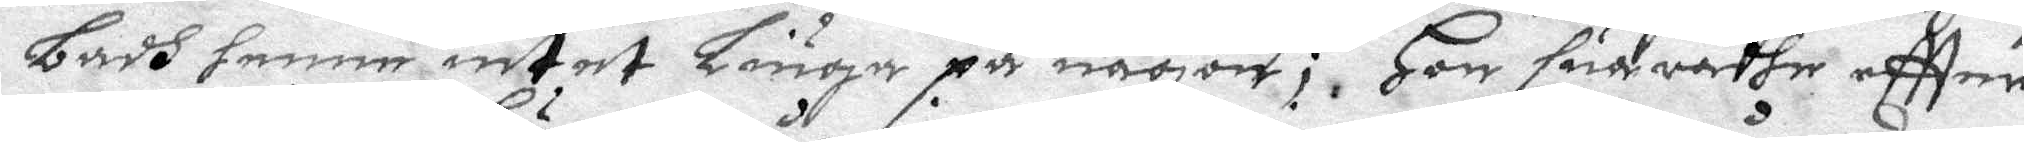badh henne intet Liuga på någon; Hon suardahe eftter
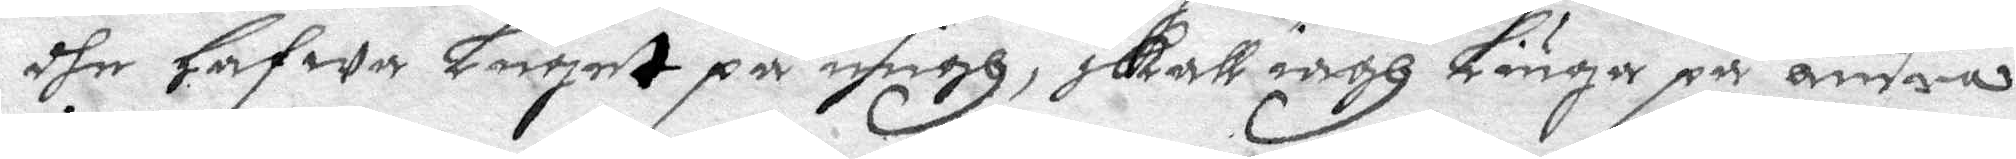dhe Hafwa Luget på migh, skall iagh Liuga på andra
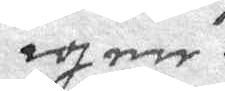igen.
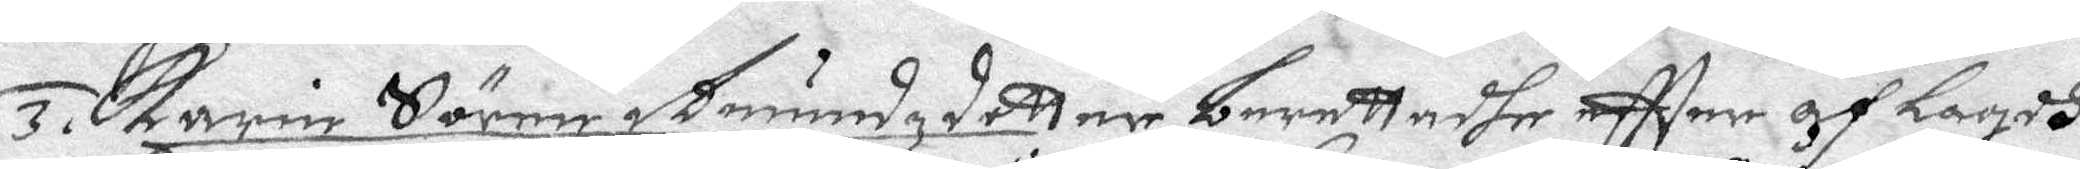3. Karin Sören Amundzdotter berettadhe eftter af Lagdh
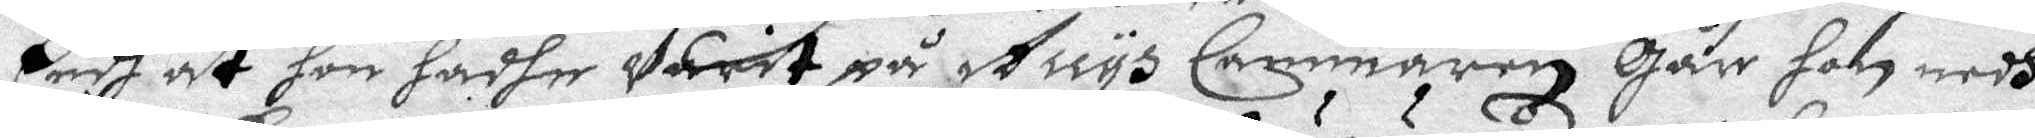Eedh at hon hadhe Varit på Anyh Cammaren går hon nedh
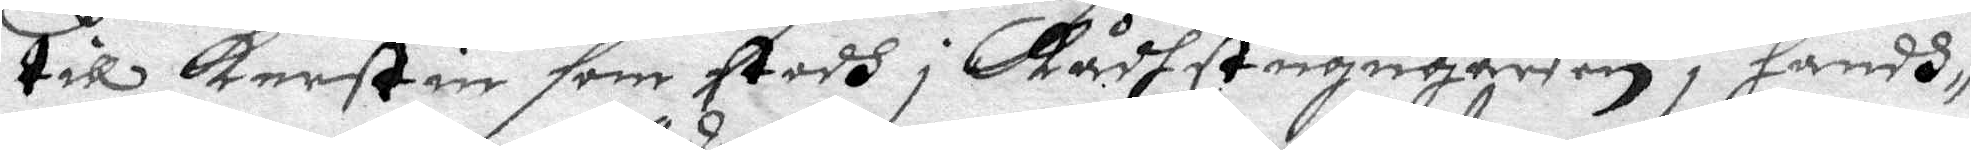till Kerstin som stodh i Rådstugugården i handh¬
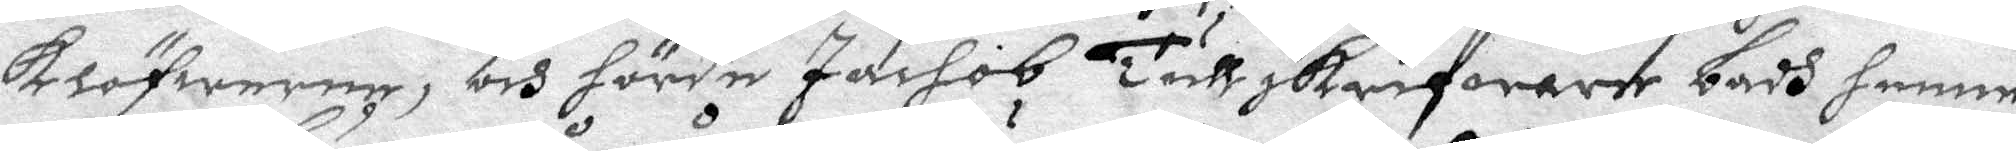klöfwerne, och hörde Jacob Tullskrefware badh henne
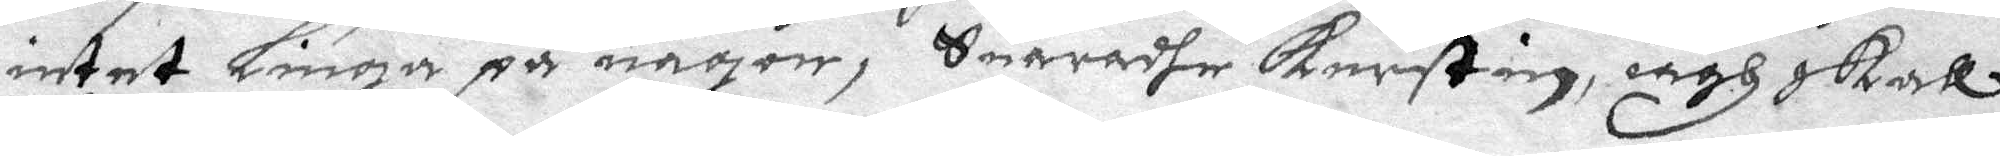intet Liuga på någon, Suaradhe Kerstin, iagh skall
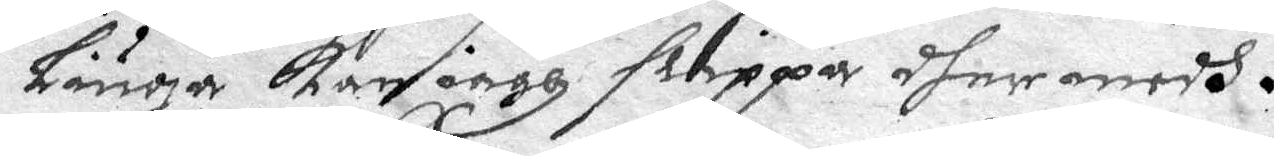Liuga kan iagh slippa dher medh.
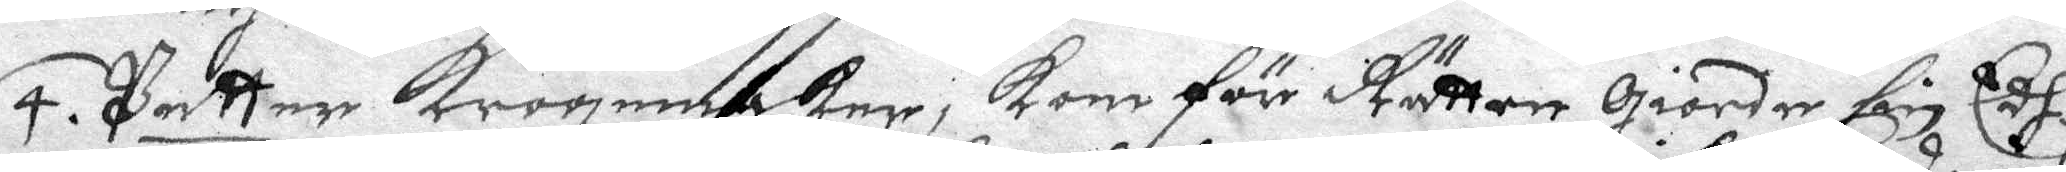4. Petter Krogmakare, kom för Rätten giorde sin Edh
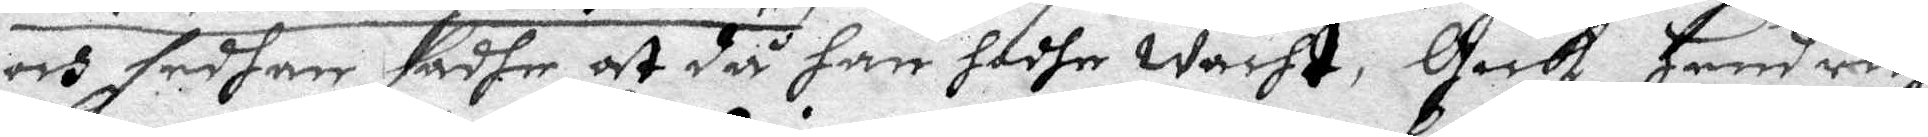och sedhan sadhe at då han hadhe wacht, gick hendrich
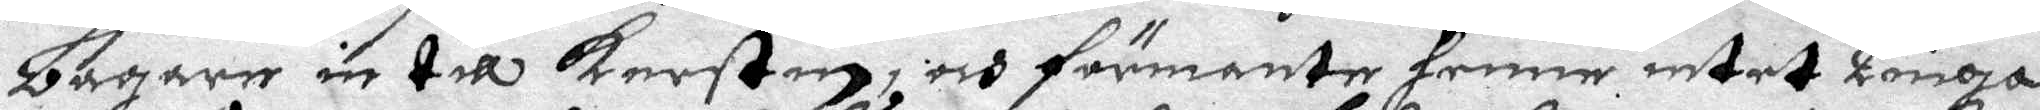bagare in till Kerstin, och förmante henne intet Liuga
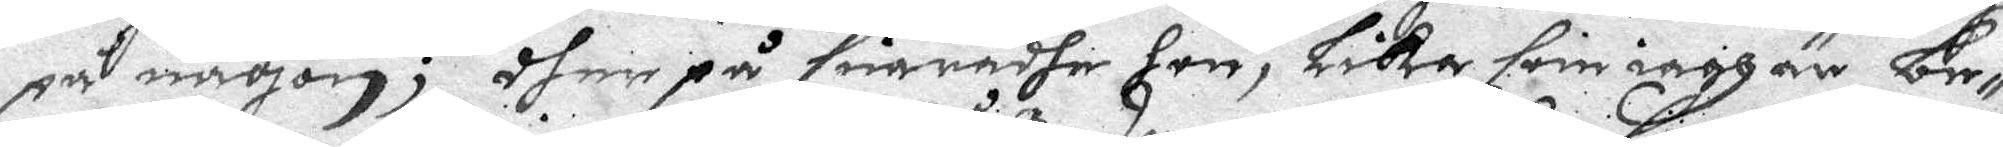på någon; dher på suaradhe hon, Lika som iagh är be¬
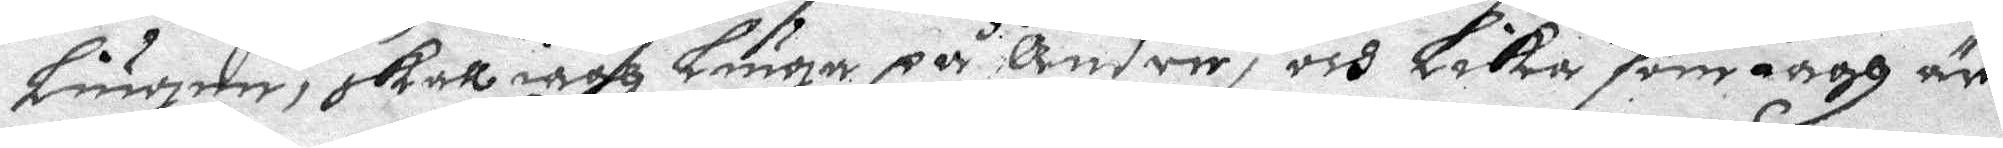Liugen, skall iagh Liuga på Andre, och Lika som iagh är
